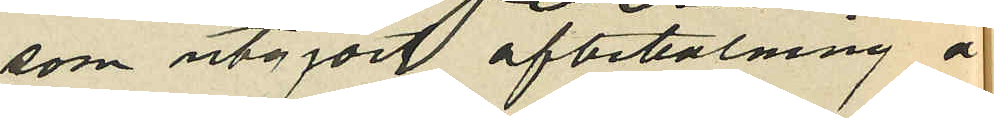som utgjort afbetalning å
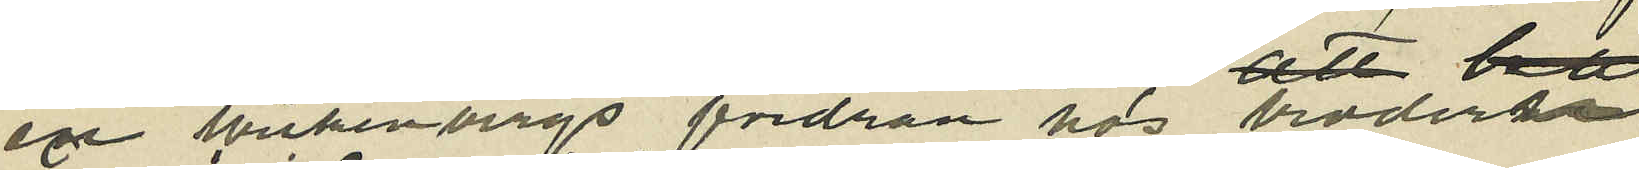en Wickenbergs fordran hos brodern
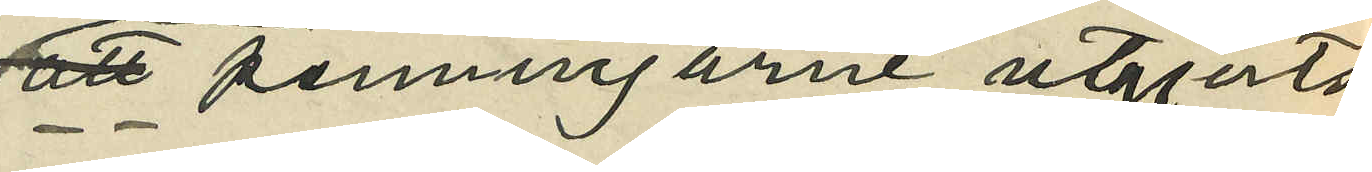att penningarne utgjorts
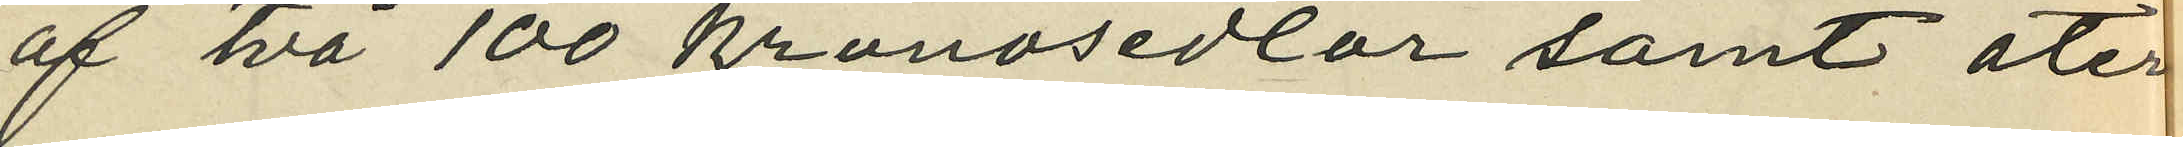af två 100 kronosedlar samt åter
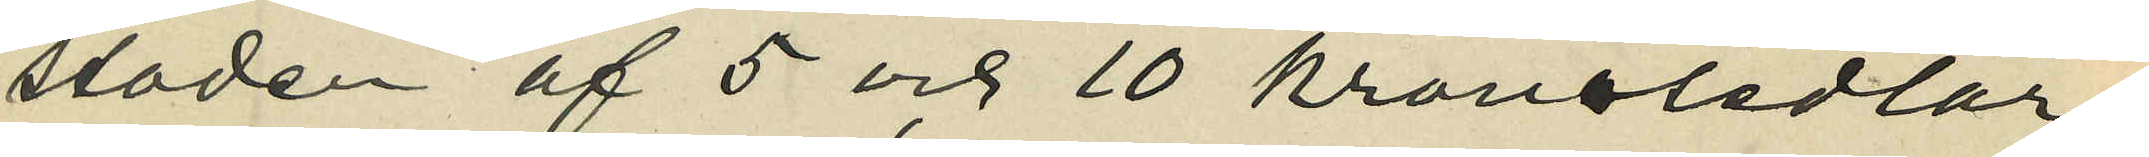stoden af 5 och 10 kronosedlar;
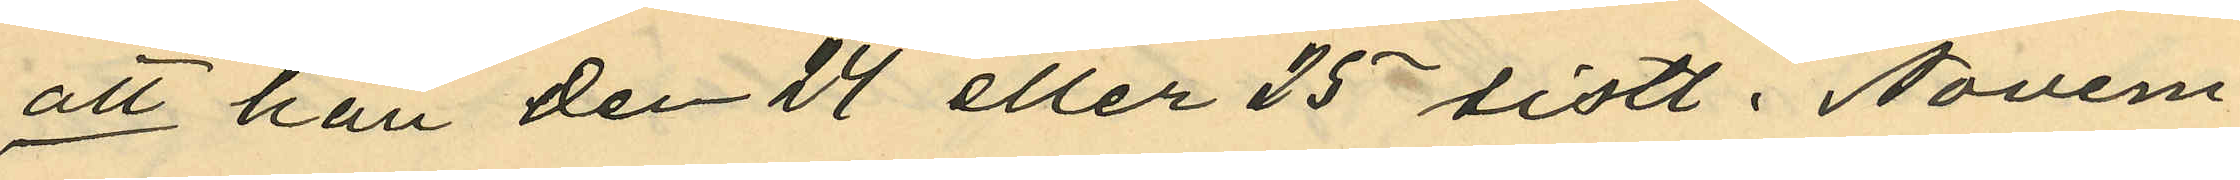att han den 24 eller 25 sistl. Novem¬
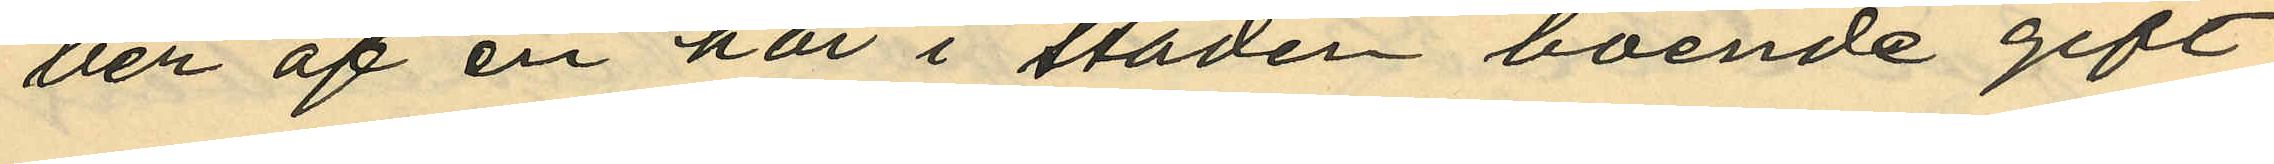ber af en här i staden boende gift
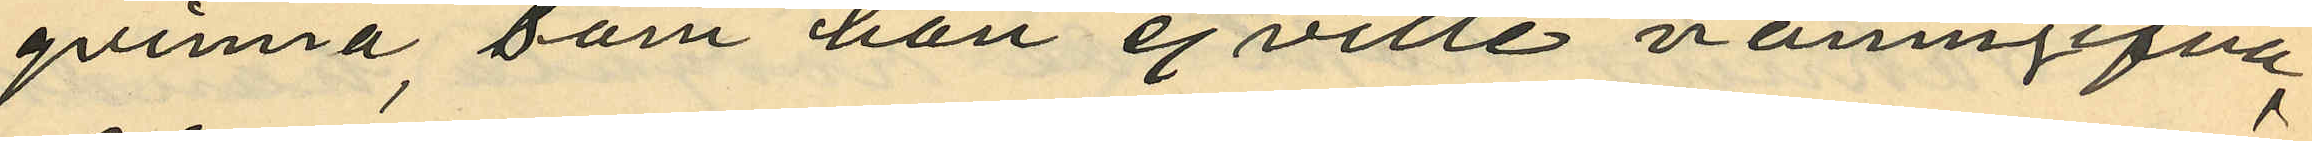qvinna, som han ej ville namngifva,
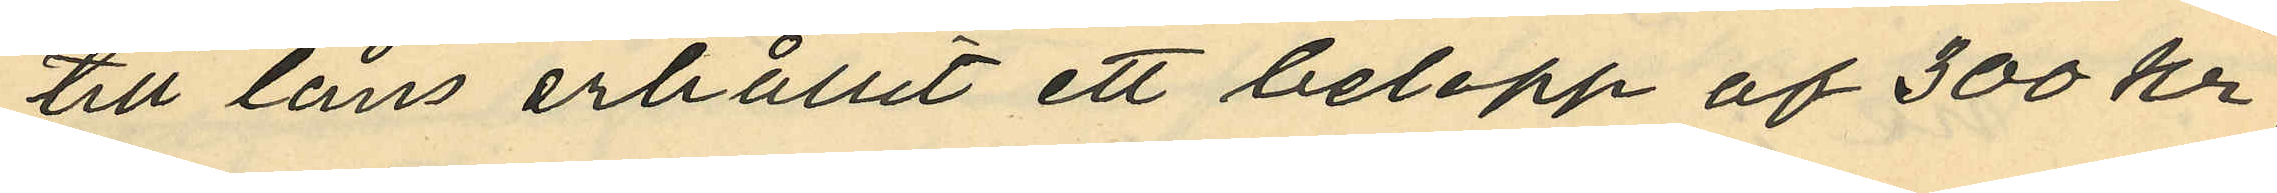till låns erhållit ett belopp af 300 kr;
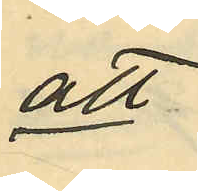att
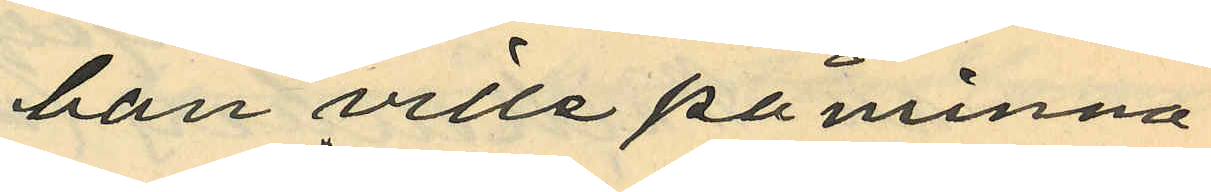han ville påminna
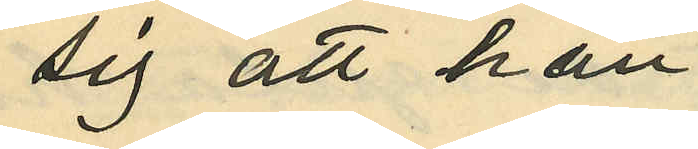sig att han
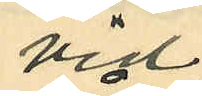vid
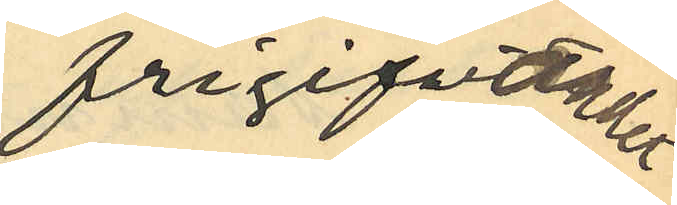frigifvandet
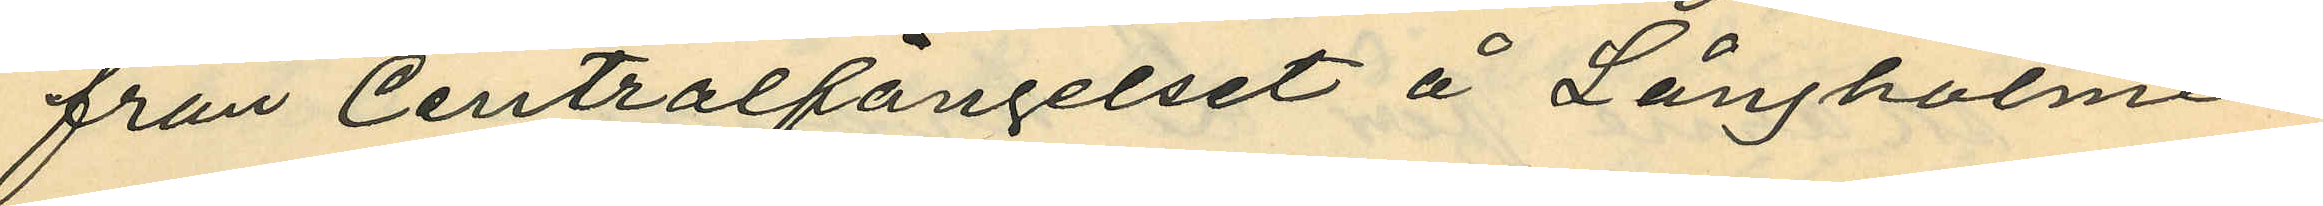från Centralfängelset å Långholmen
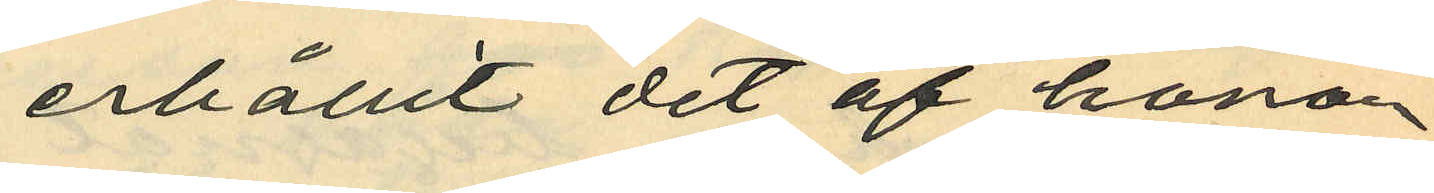erhållit det af honom
